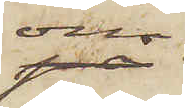om
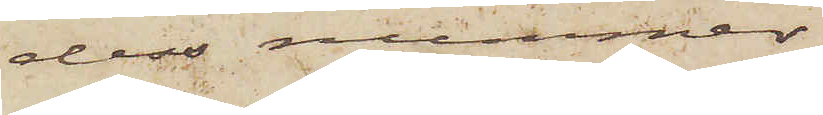dess nummer.
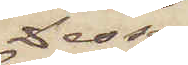Dessa
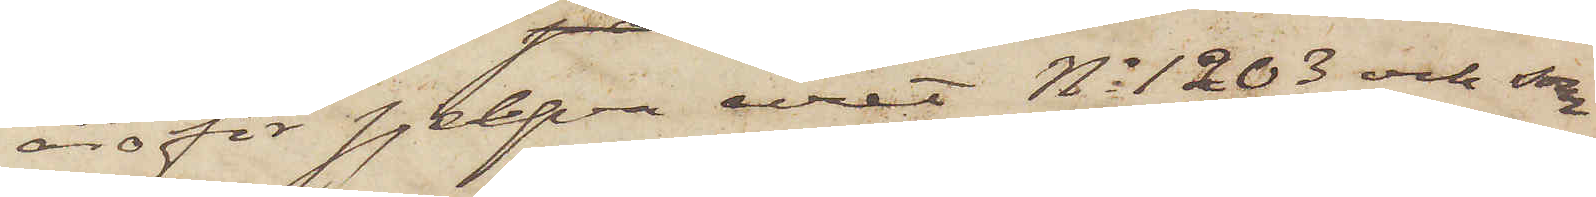äro för sjelfva uret No 1203 och som
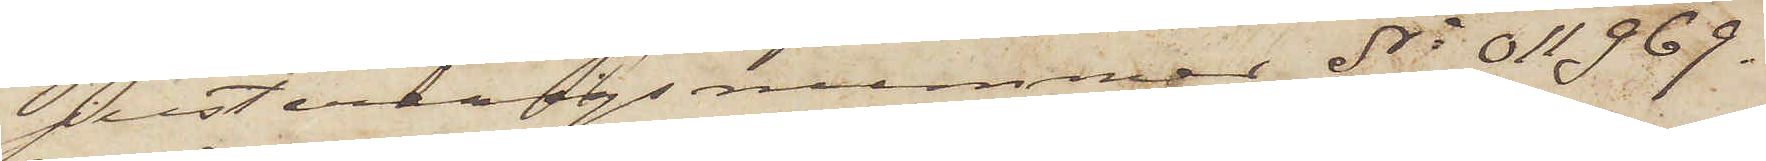justeringsnummer No 11969.
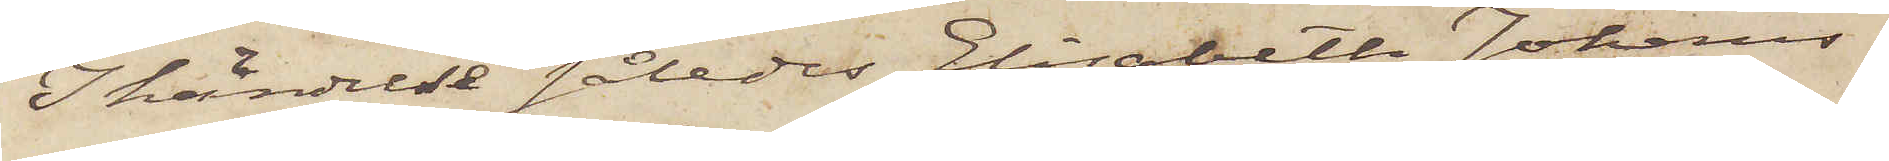I händelse således Elisabeth Johans¬
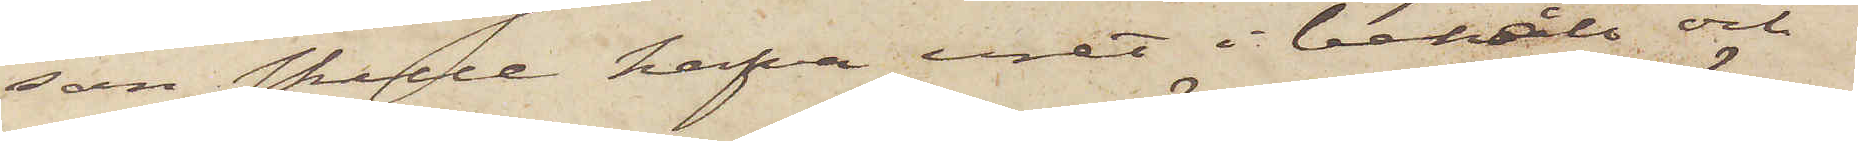son skulle hafva uret i behåll och
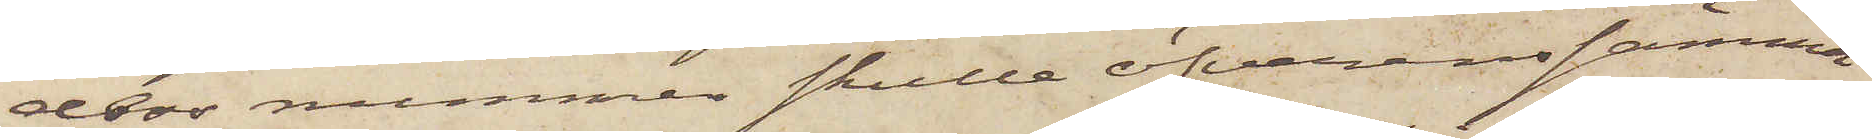dess nummer skulle öfverenssamma
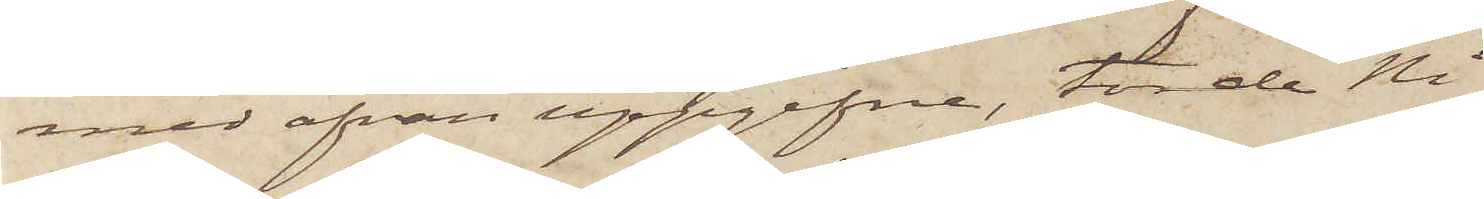med ofvan uppgifne, torde Ni
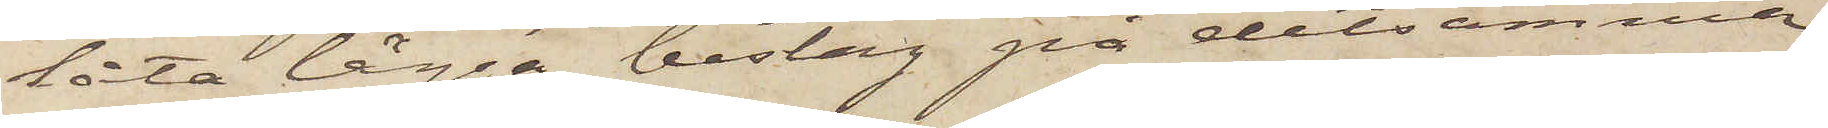låta lägga beslag på detsamma
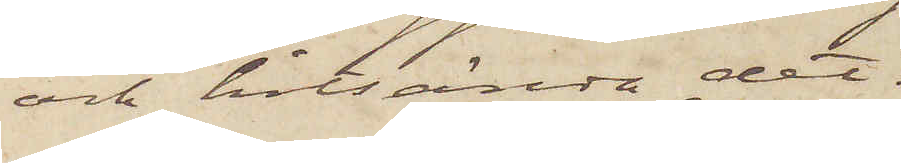och hitsända det.
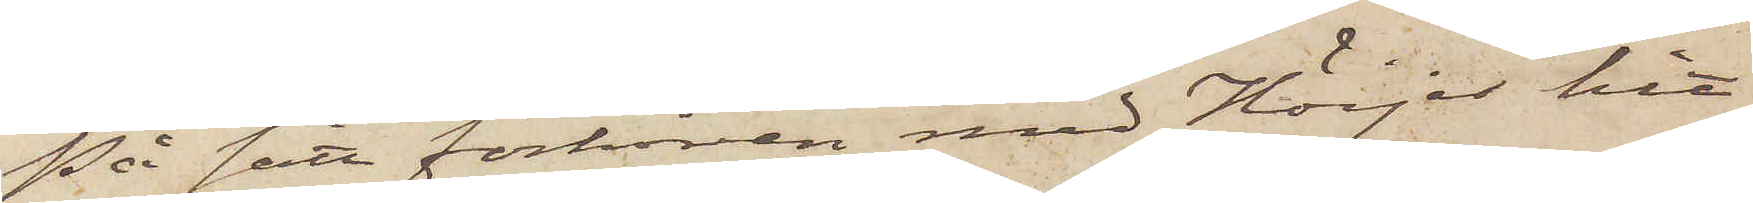På sätt förhören med Höijer hit¬
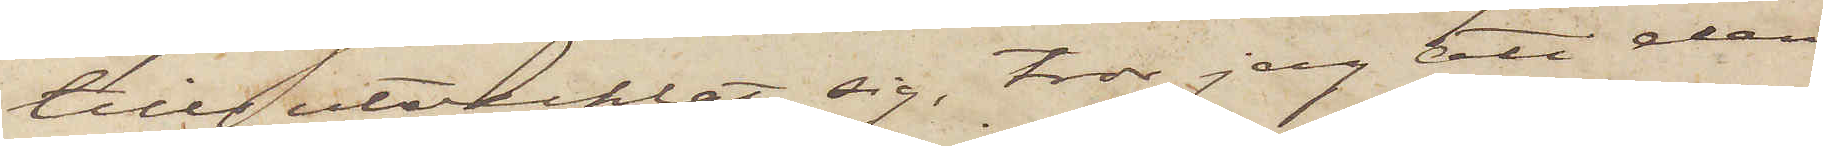tills utvecklat sig, tror jag att den
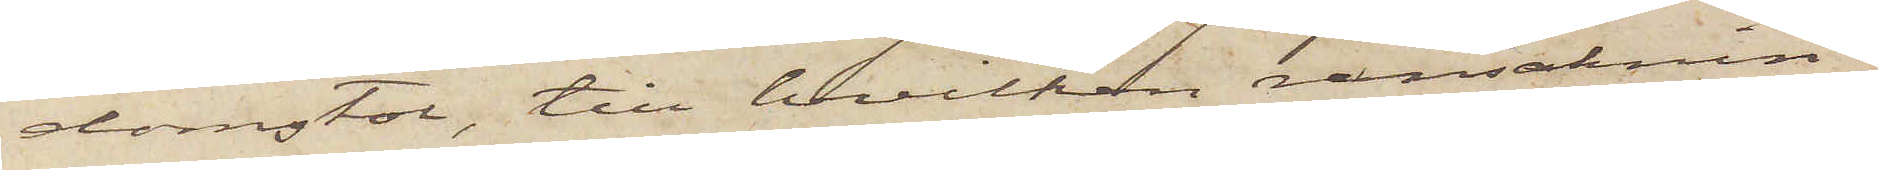domstol, till hvilken ransaknin¬
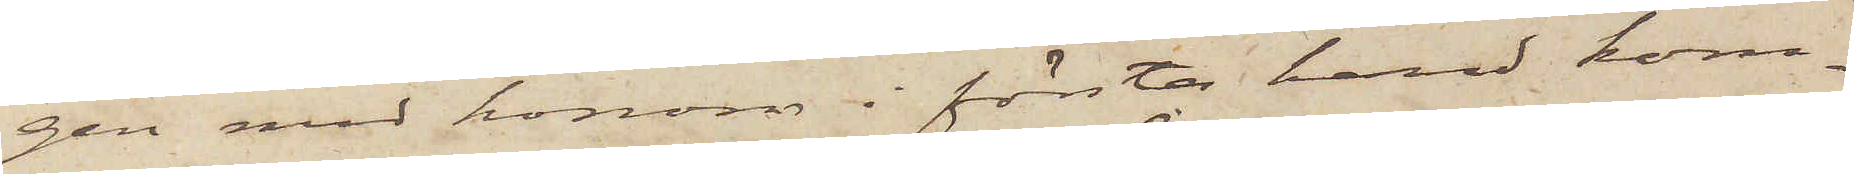gen med honom i första hand kom¬
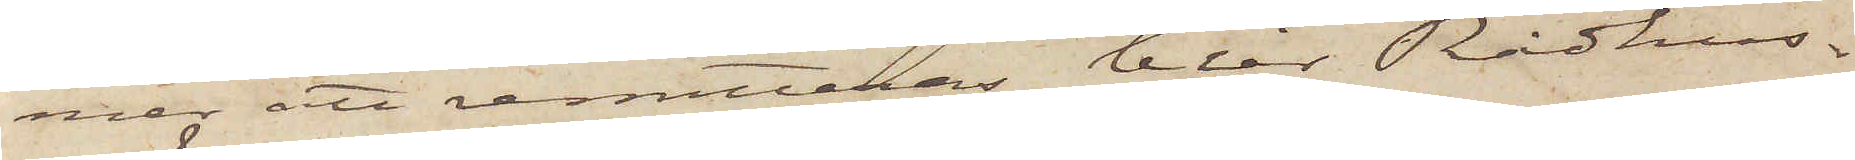men att remitteras blir Rådhus¬
